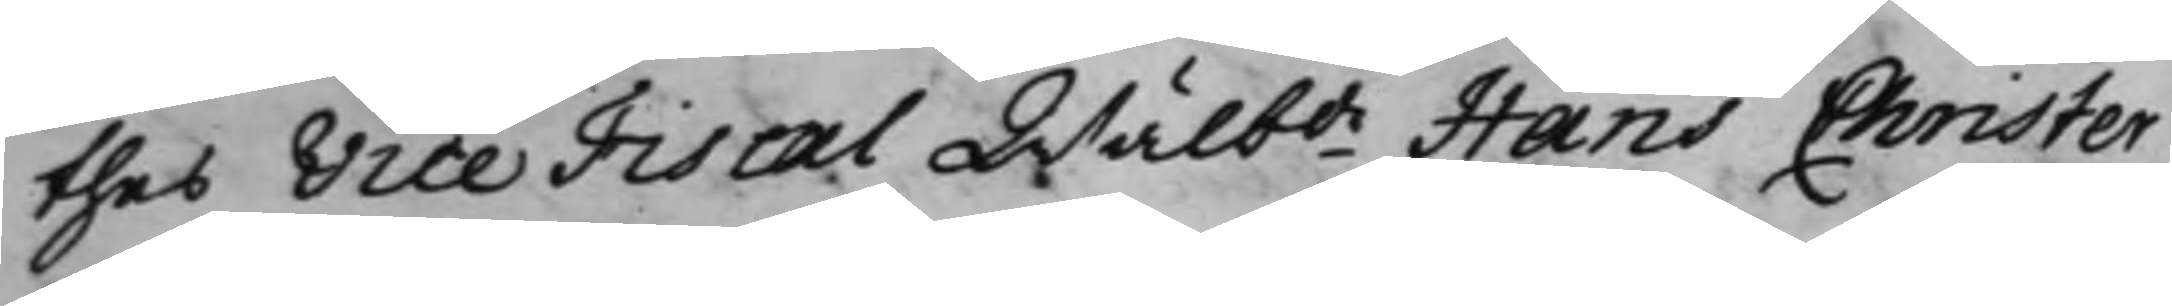thes Vice Fiscal Wälbde Hans Christer
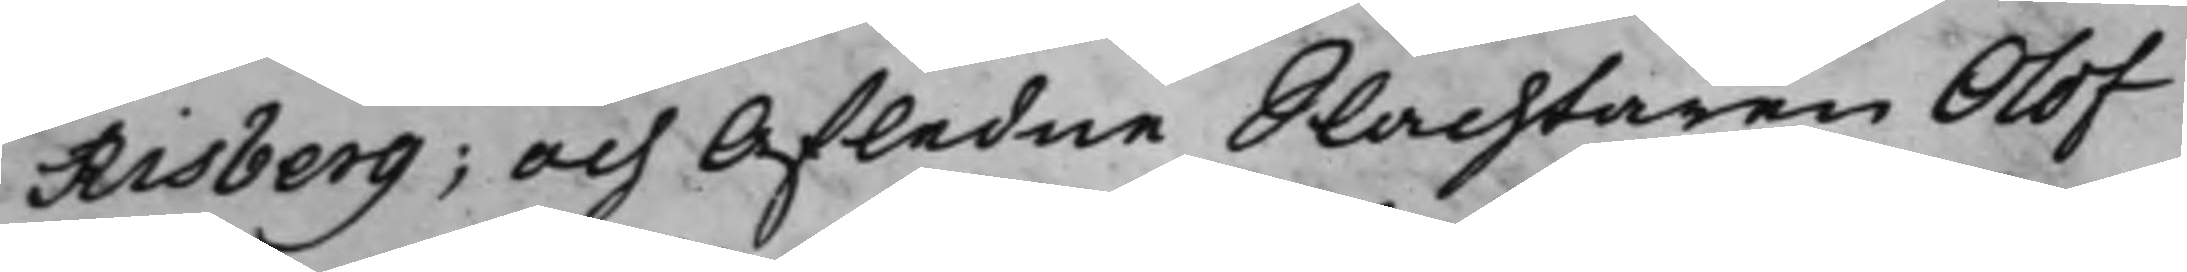Risberg; Och Afledne Slachtaren Olof
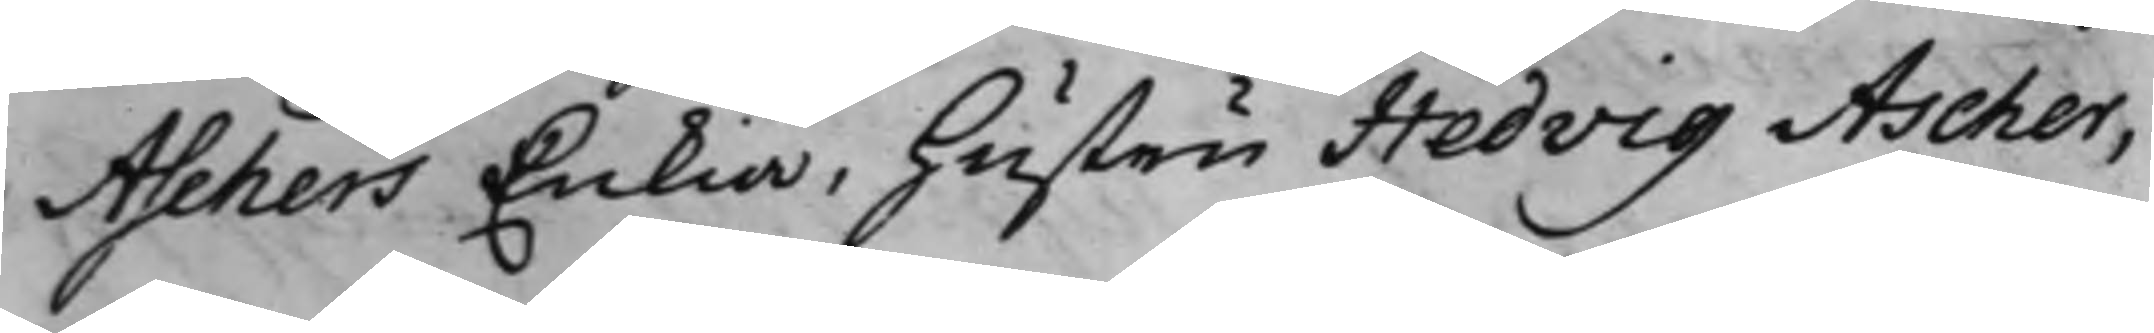Aschers Enkia, hustru Hedvig Ascher,
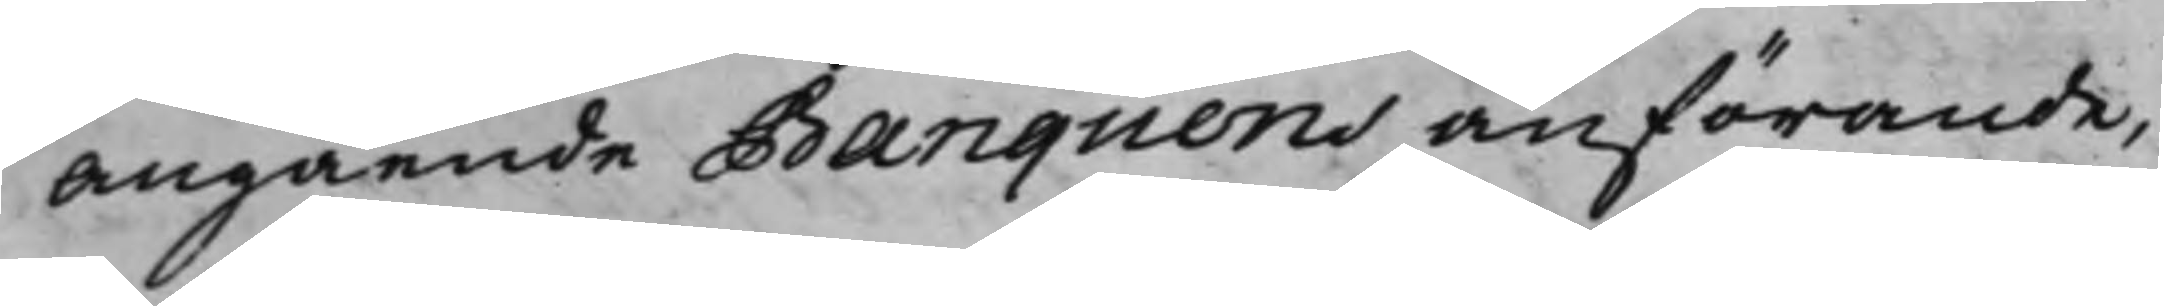Angående Banquens anförande,
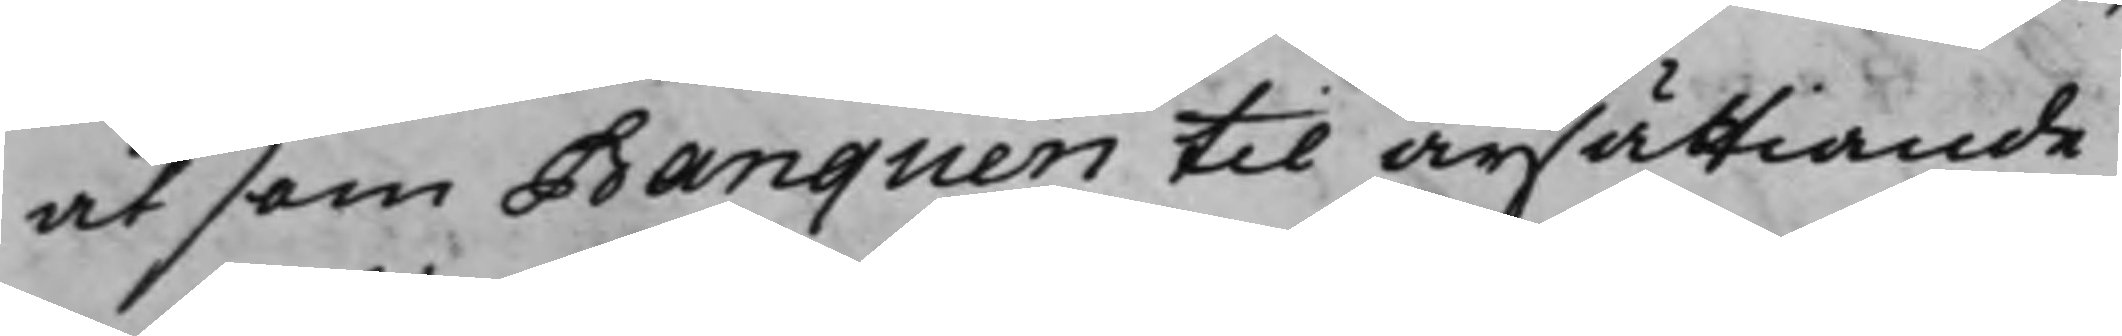at som Banquen til ärsättiande
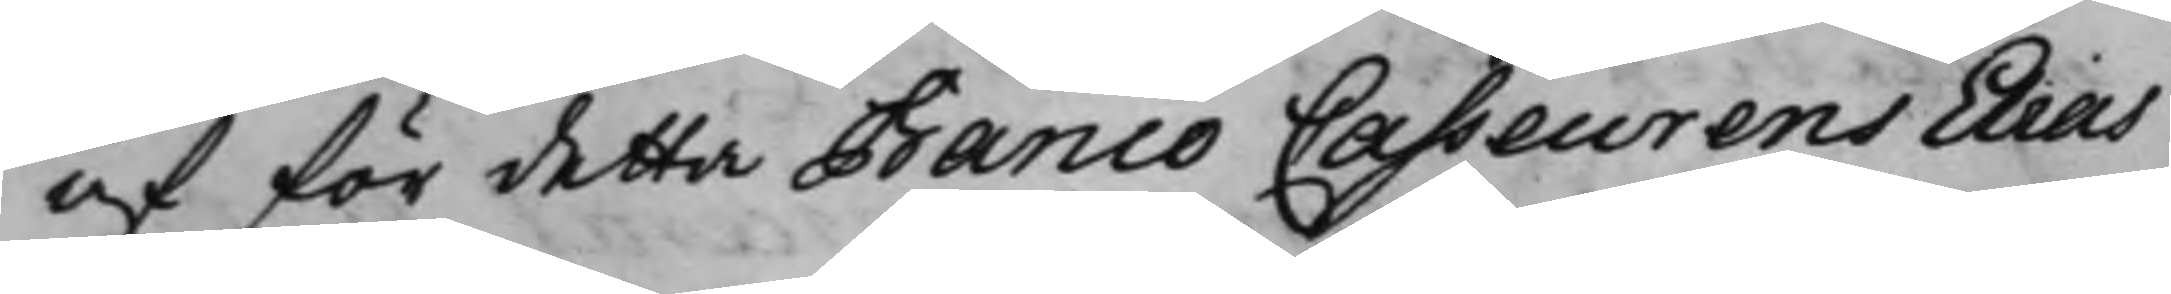af för detta Banco Casseurens Elias
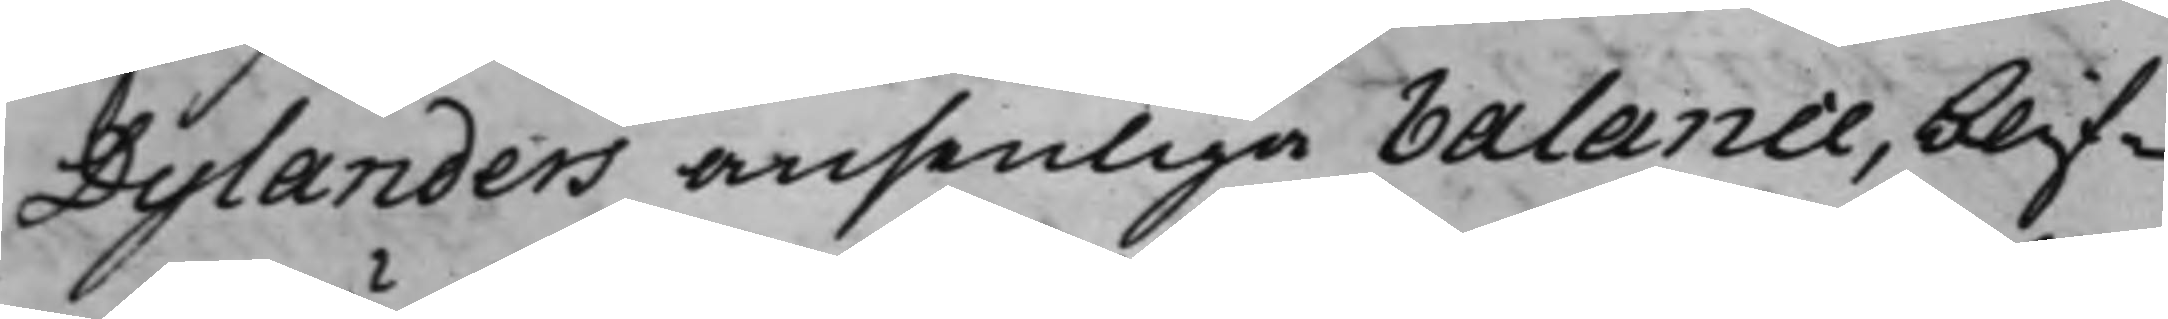Dylanders ansenliga Balance, blif¬
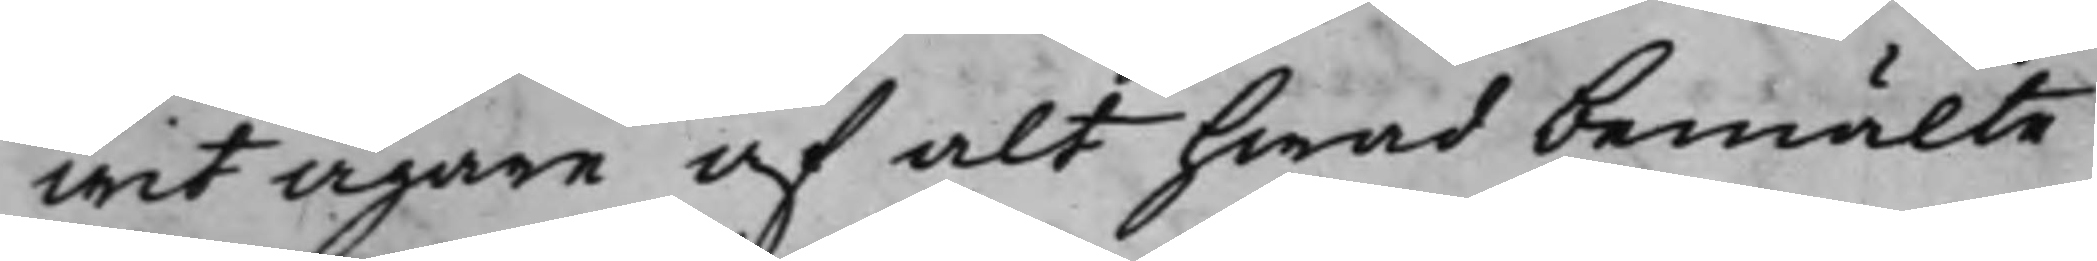wit ägare af alt hwad bemälte
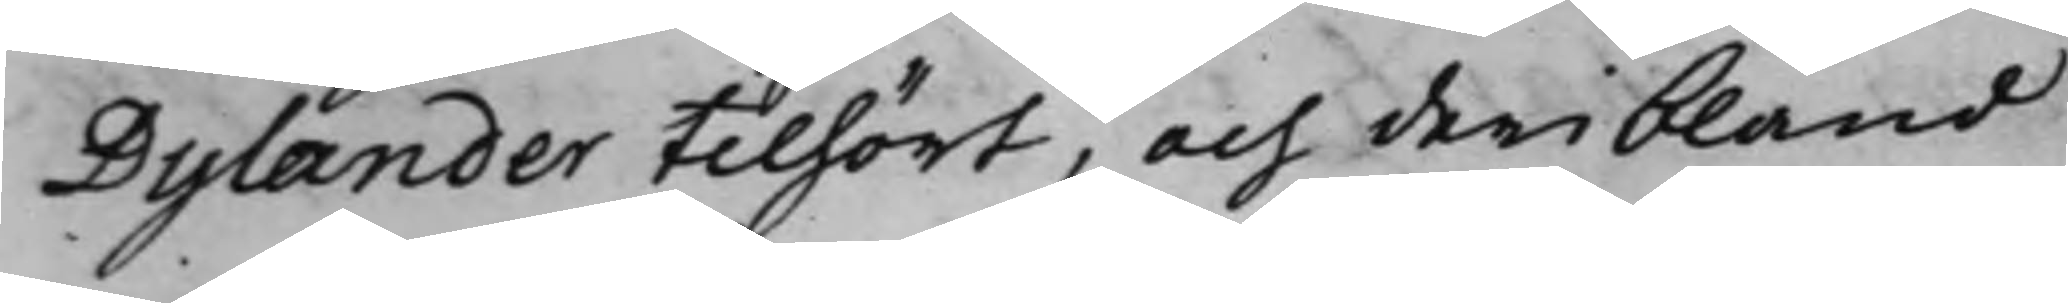Dylander tilhört, och deribland
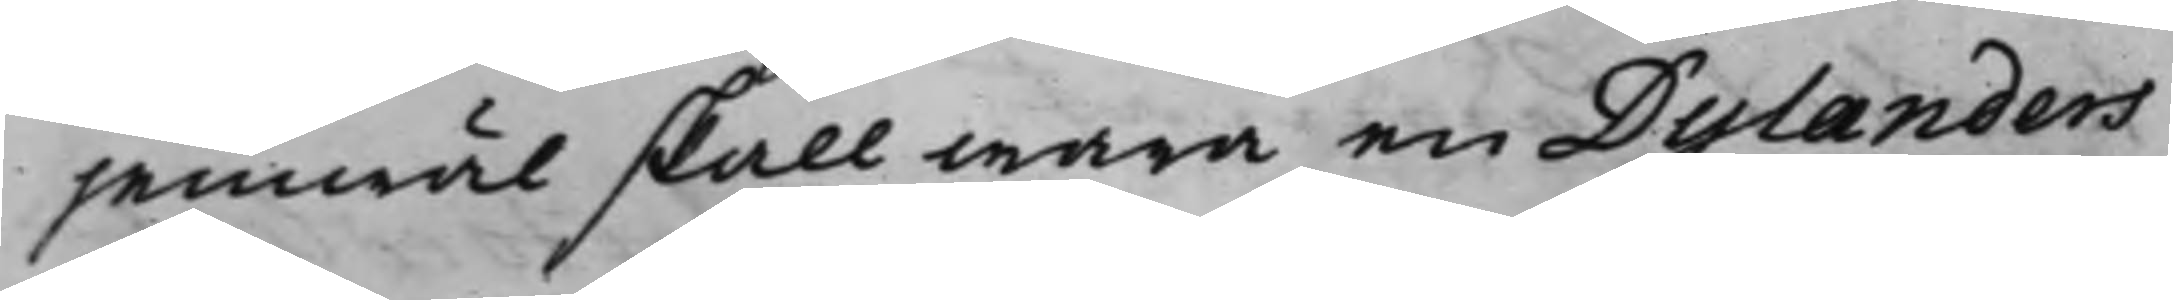jemwäl skall wara en Dylanders
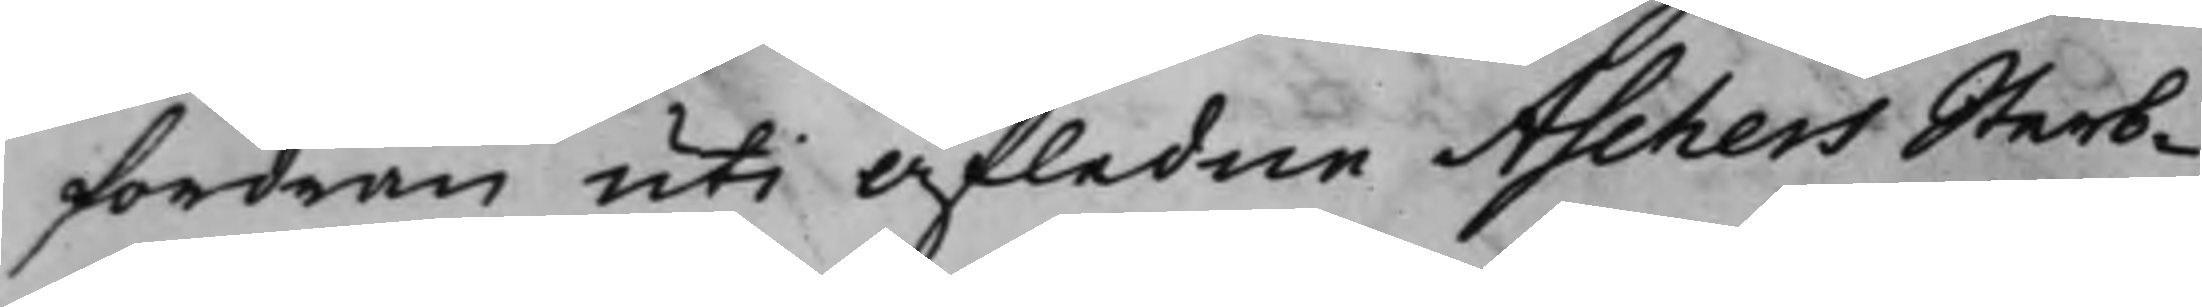fordran uti afledne Aschers Sterb¬
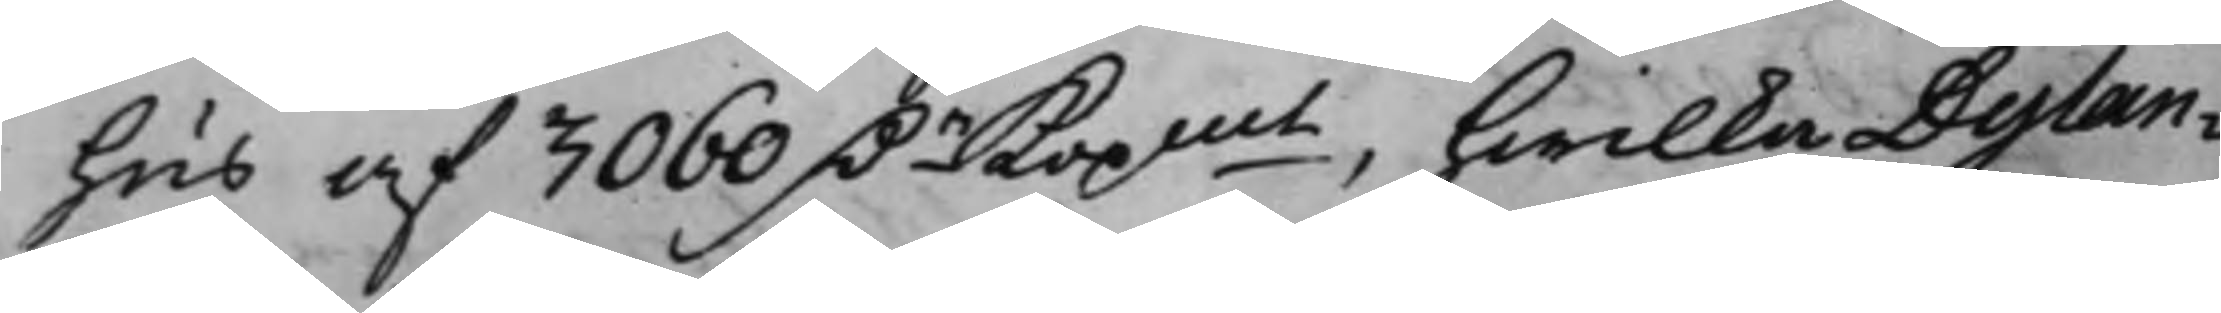hus af 3060 D.r Kopmt, hwilka Dylan¬
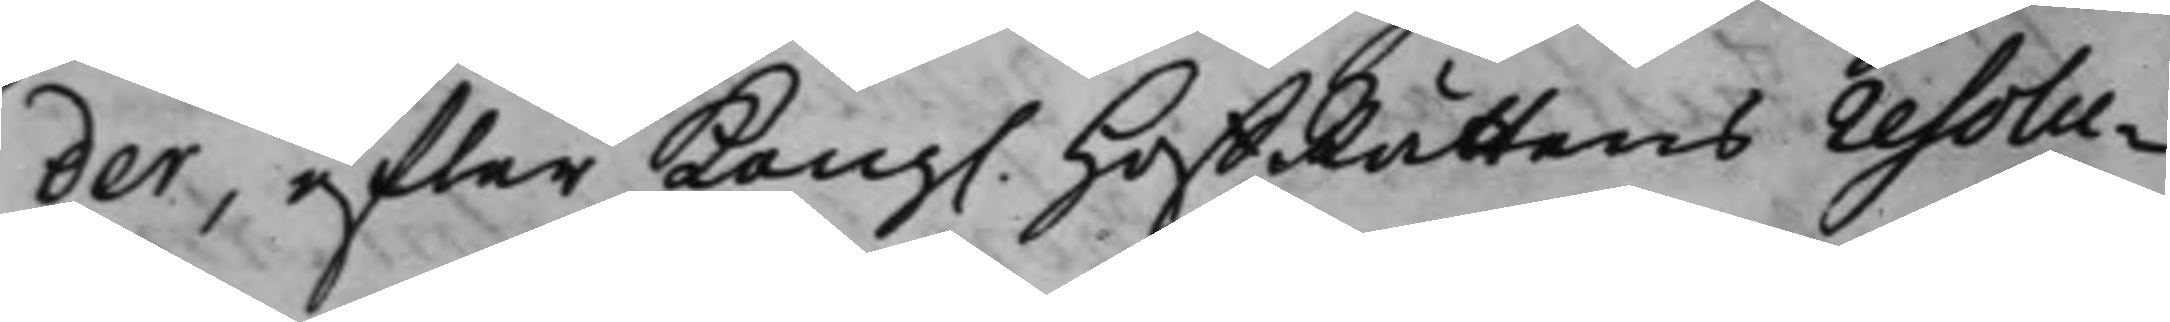der, efter Kong. HoffRättens resolu¬
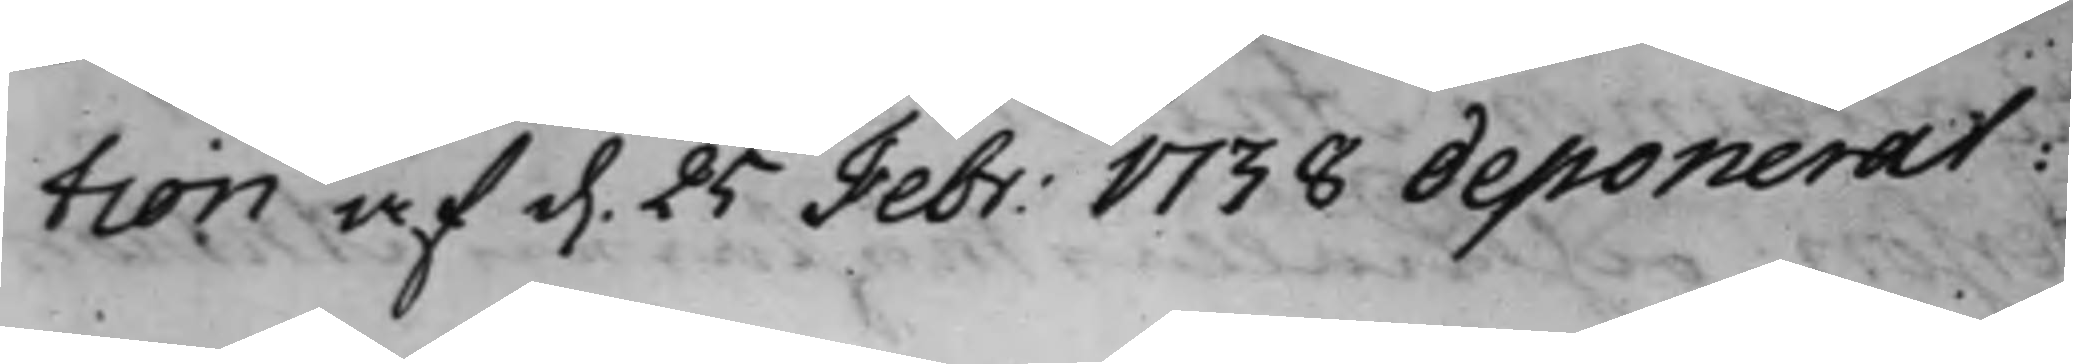tion af d. 25 Febr: 1738 deponerat:
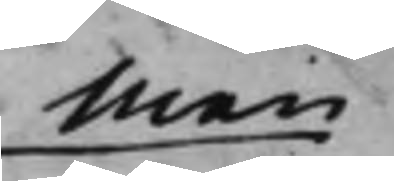Men
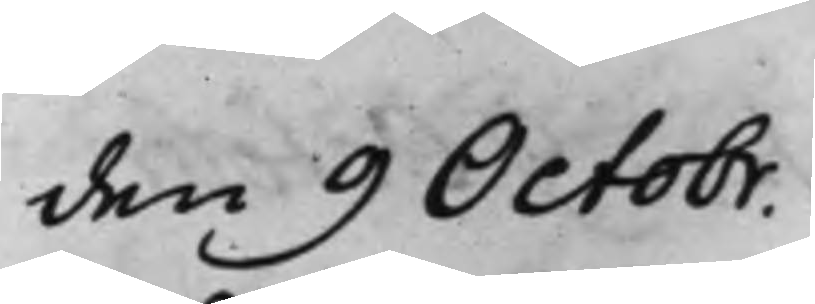den 9 Octobr.
